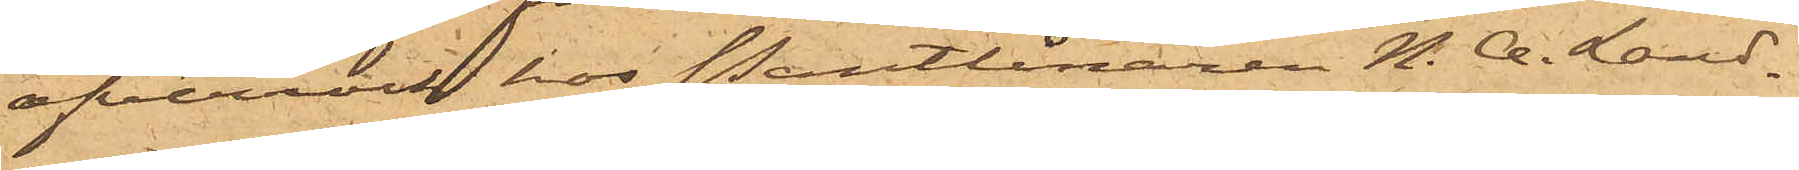öfverrock hos Pantlånaren N. A. Land¬
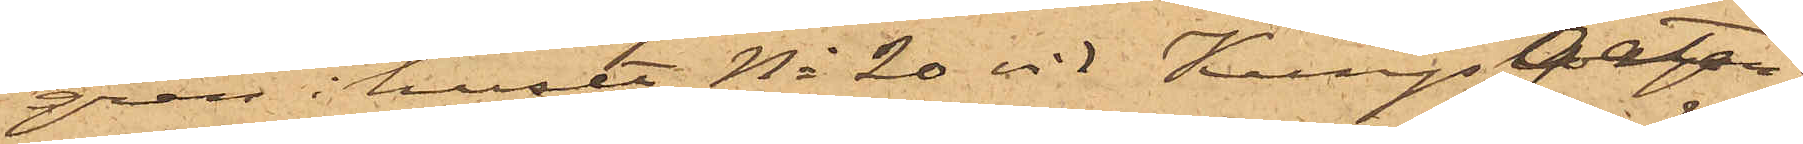gren i huset No 20 vid Kungsgatan;
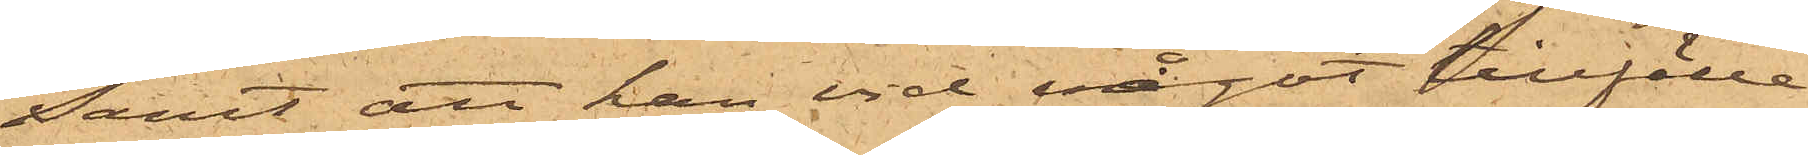samt att han vid något tillfälle
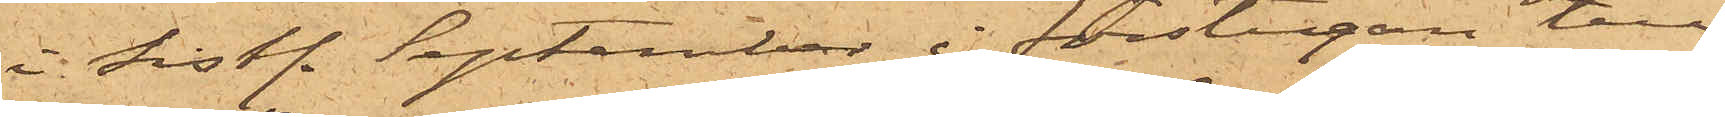i sist. September i förstugan till
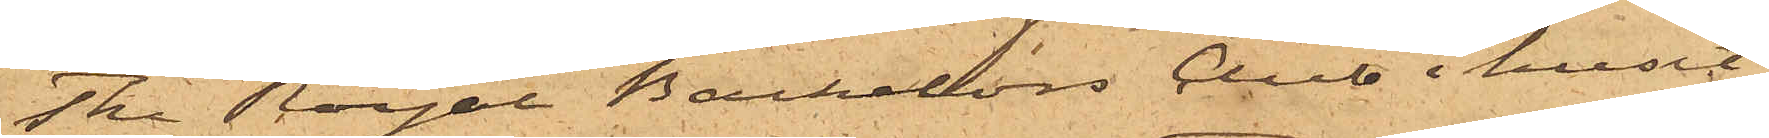The Royal Bachelors Club i huset
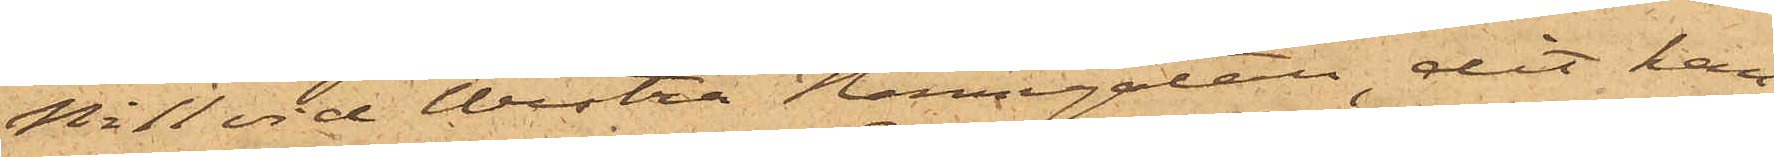No 11 vid Westra Hamngatan, dit han
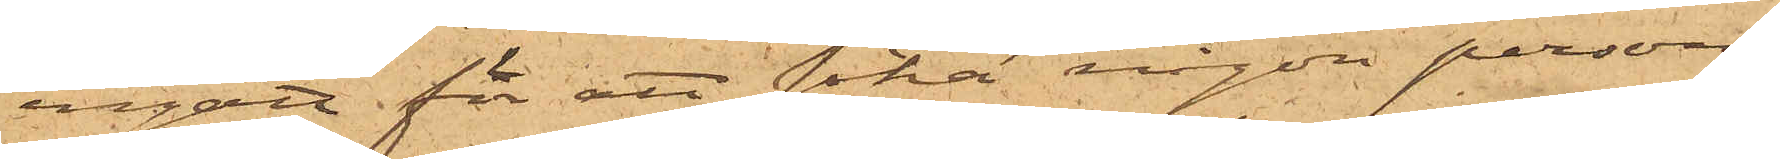ingått för att söka någon person,
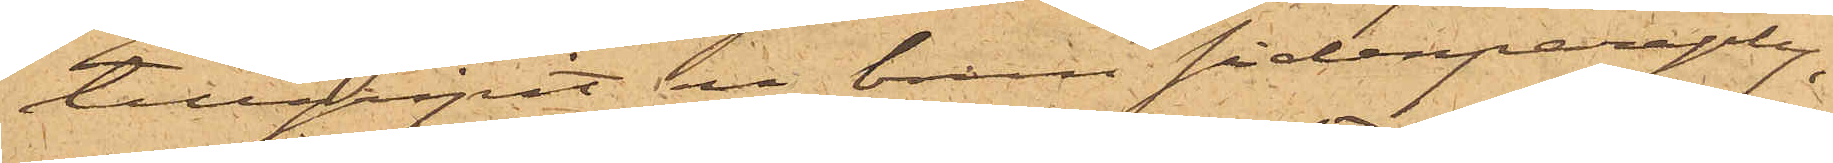tillgripit en brun sidenparaply,
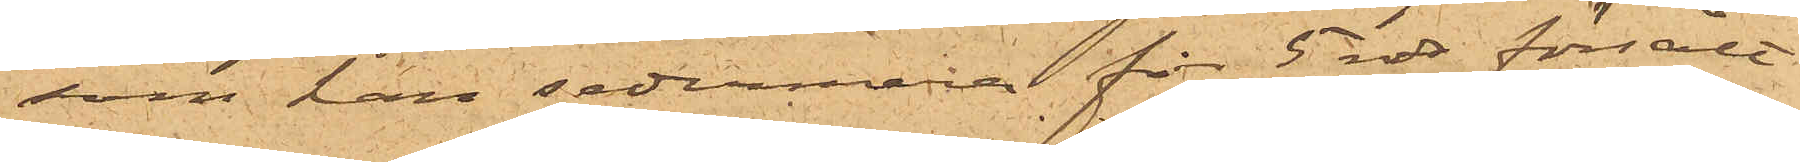som han sedermera för 5 rdr försålt
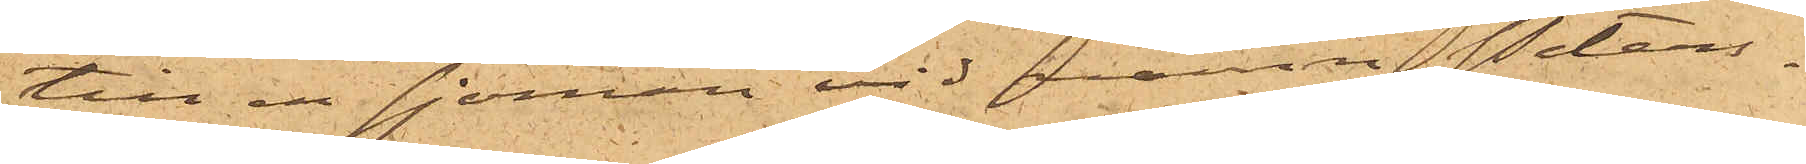till en sjöman vid namn Peters¬
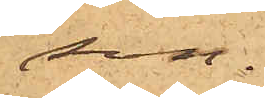son.
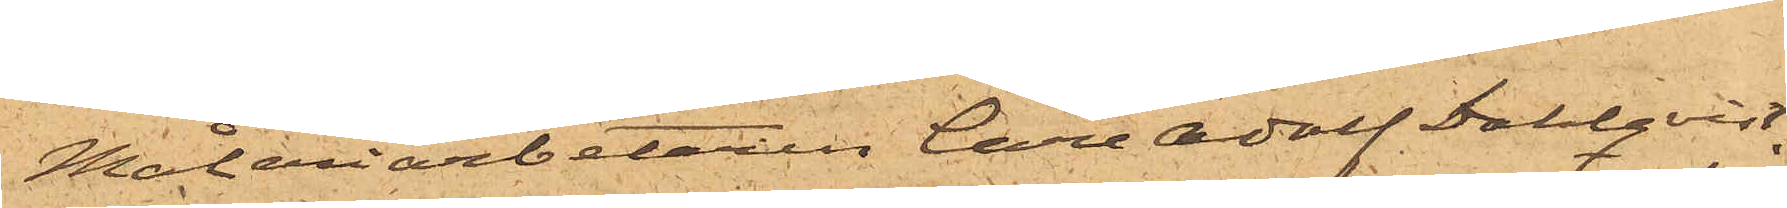Målariarbetaren Carl Adolf Dahlqvist,
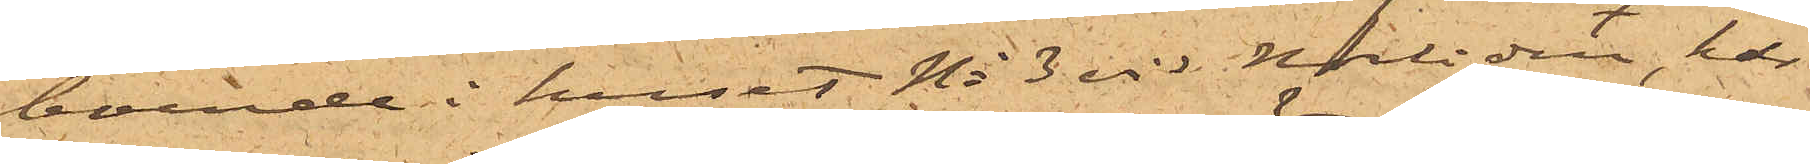boende i huset No 3 vid Norliden, har
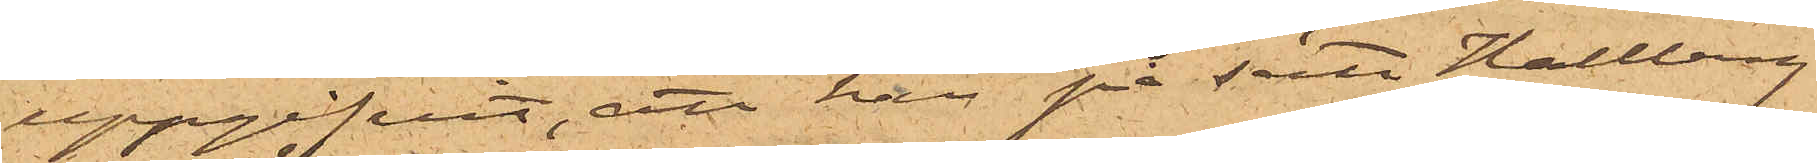uppgifvit, att han på sätt Hallberg
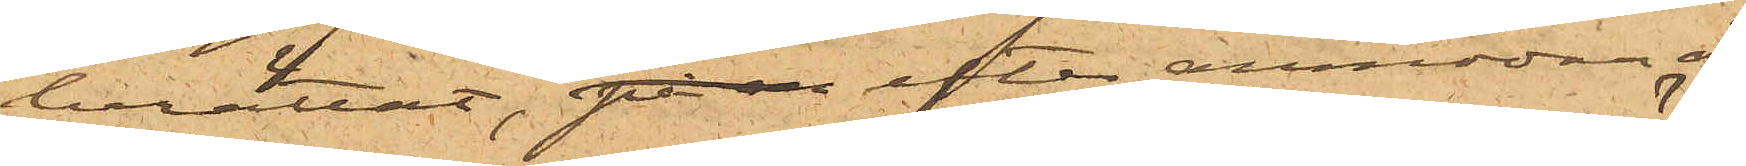berättat, efter anmodan af
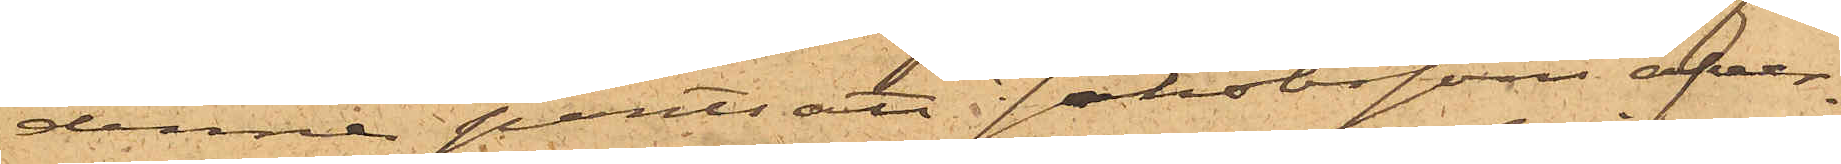denne pantsatt Jakobssons öfver¬
